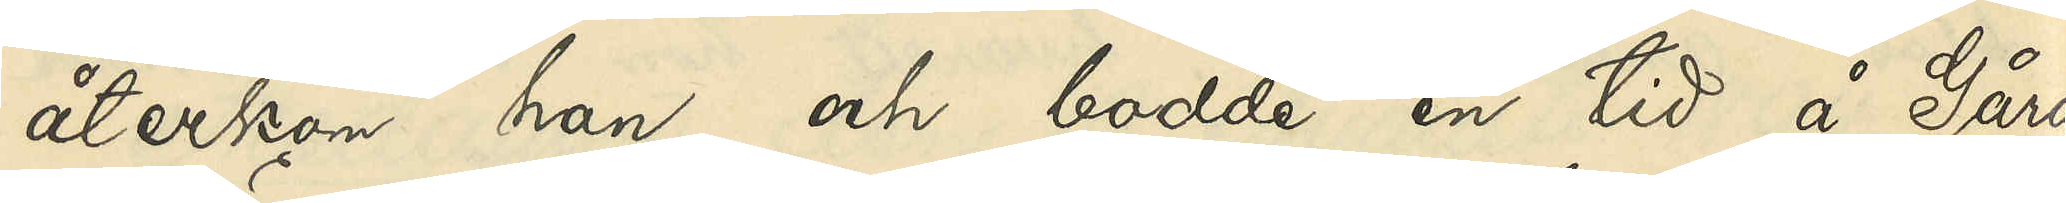återkom han och bodde en tid å Gårda
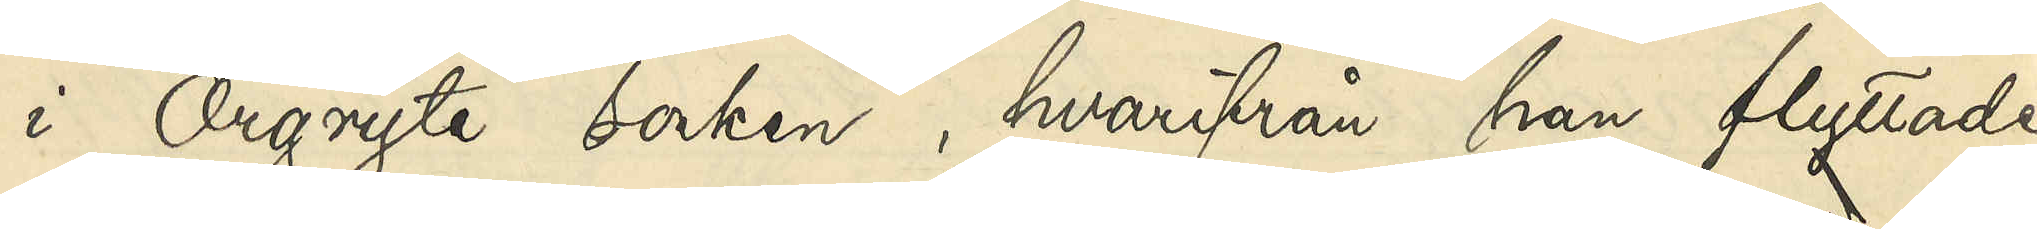i Öregryte socken, hvarifrån han flyttade
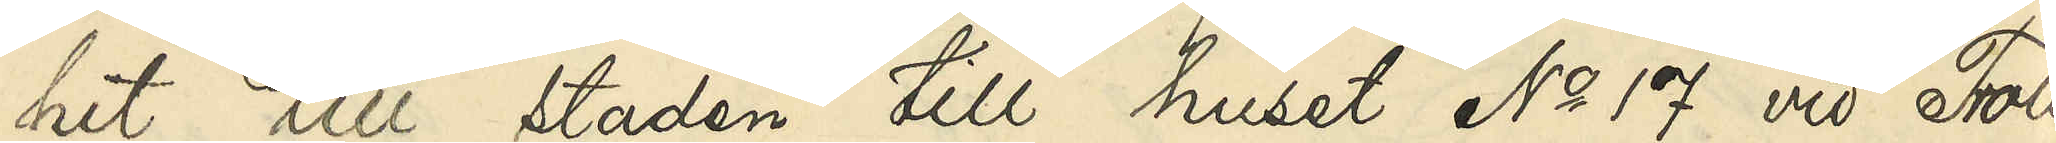hit till staden till huset No 17 vid Troll¬
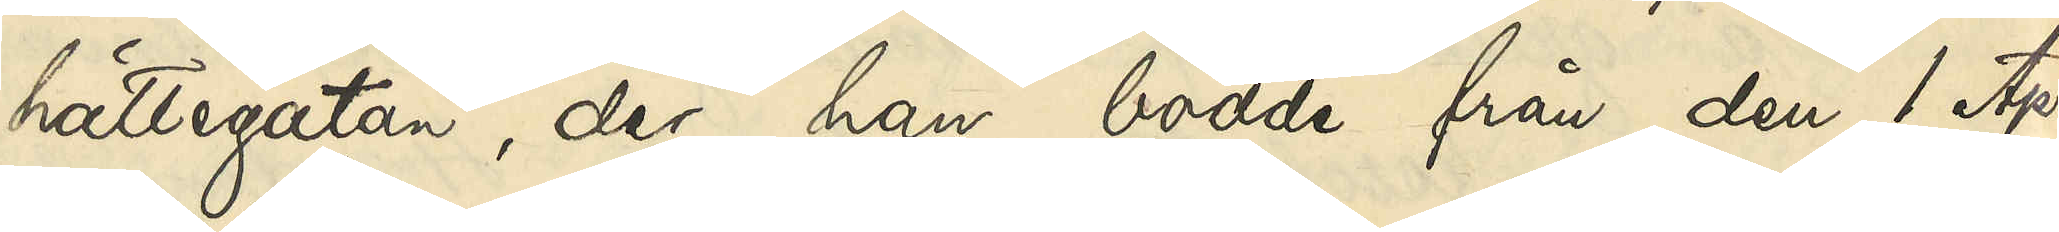hättegatan, der han bodde från den 1 April
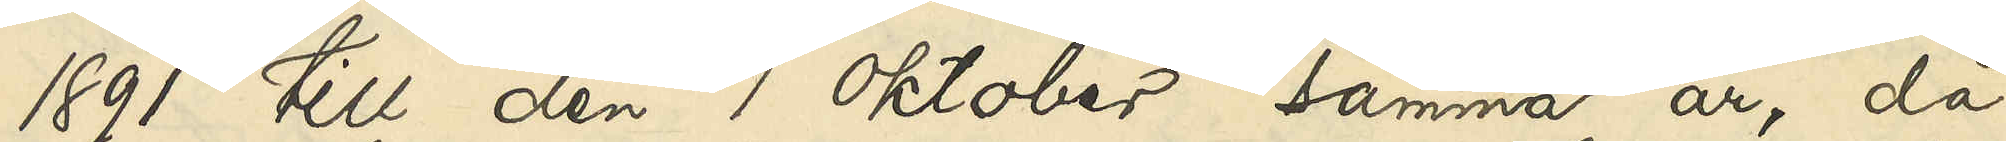1891 till den 1 Oktober samma år, då
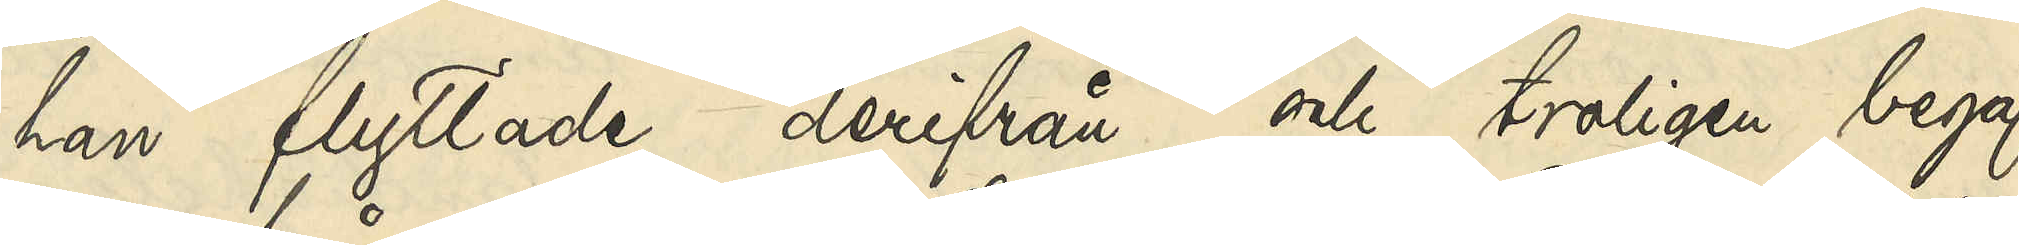han flyttade derifrån och troligen begaf
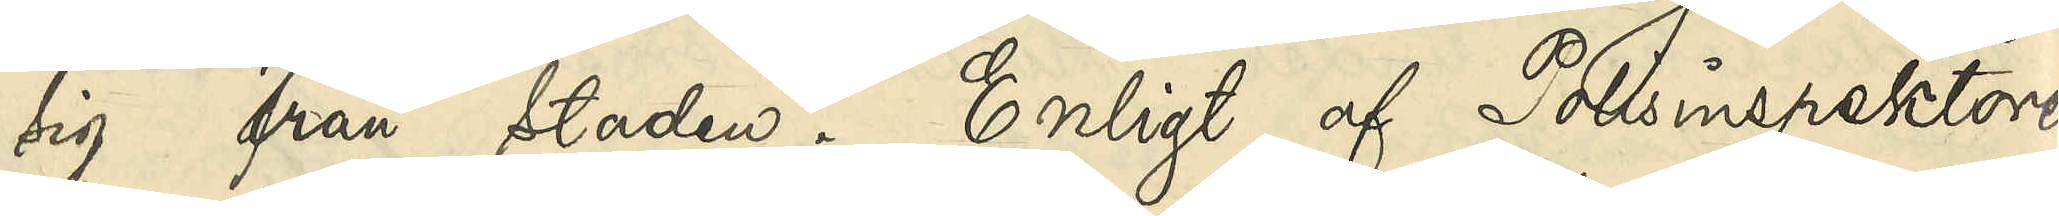sig från staden. Enligt af Polisinspektoren
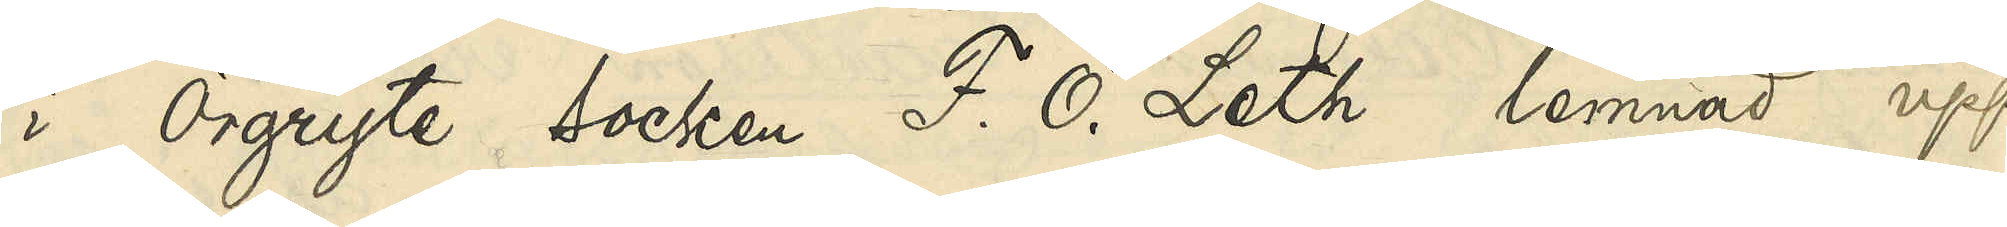i Örgryte socken F. O. Leth lemnad upp¬
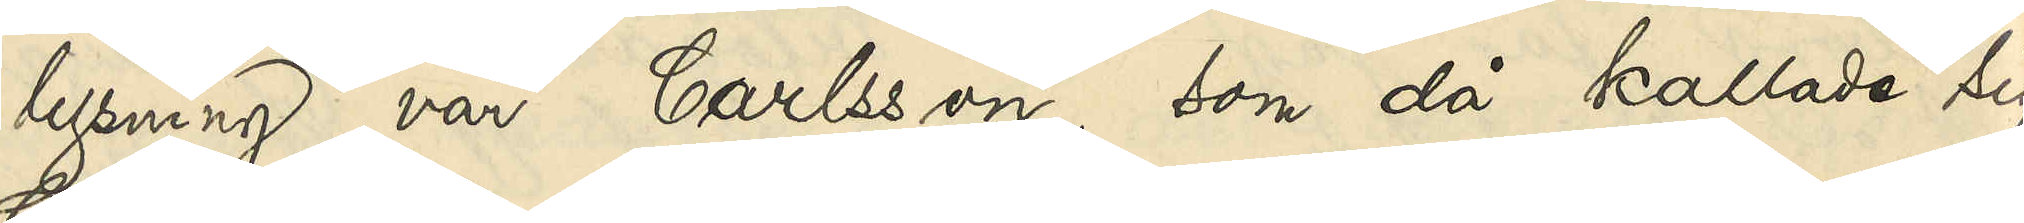lysning var Carlsson, som då kallade sig
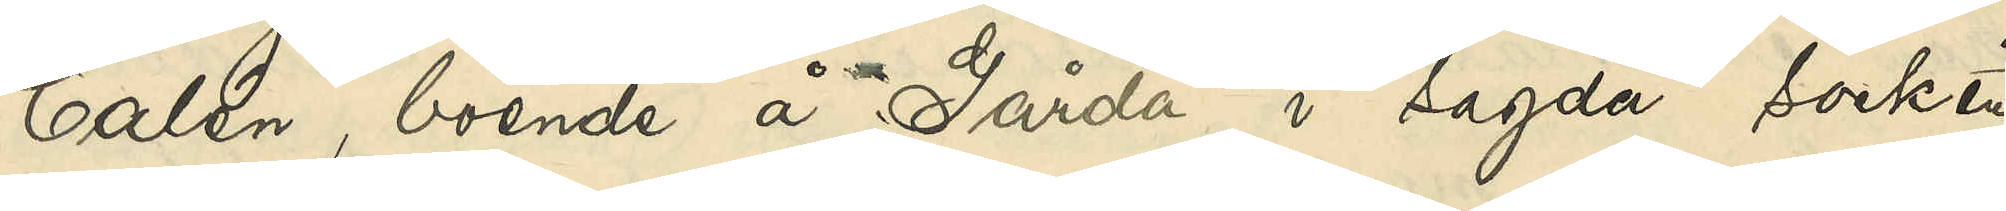Calén, boende å Gårda i sagda socken
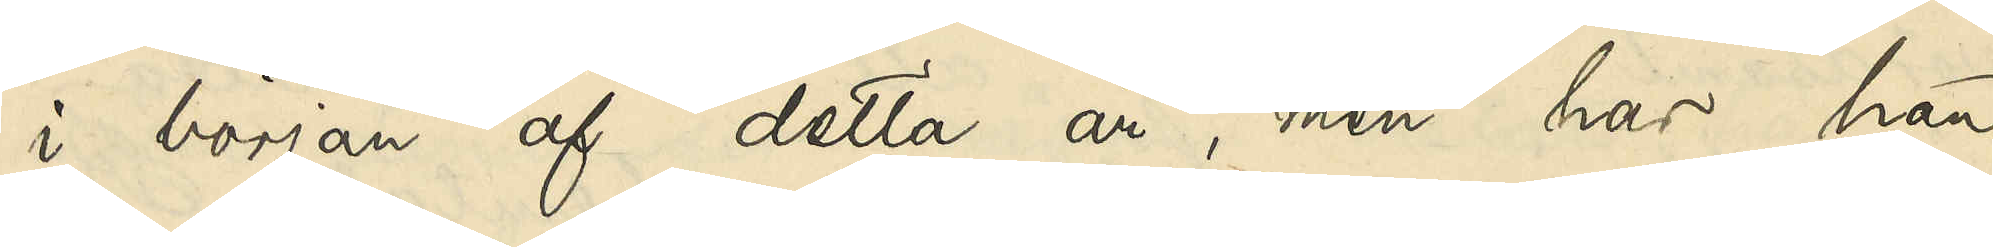i början af detta år, men har han
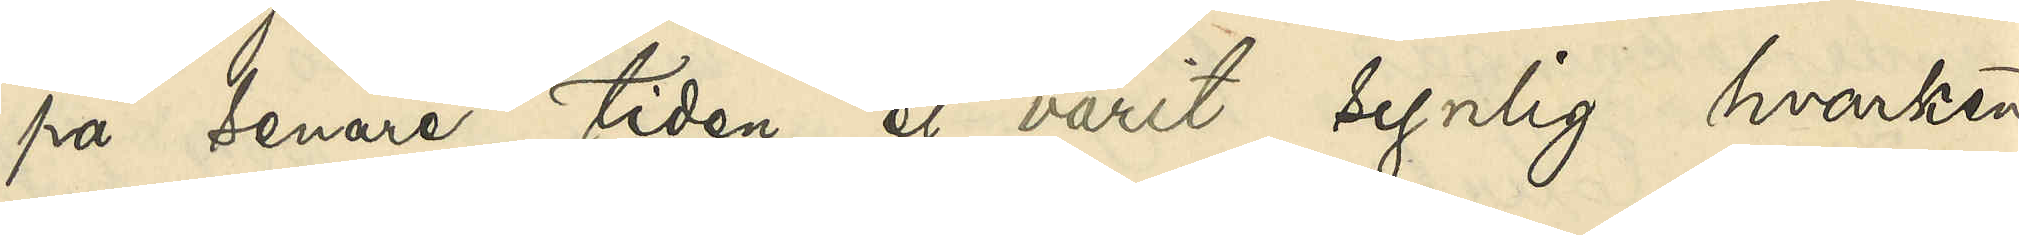på senare tiden ej varit synlig hvarken
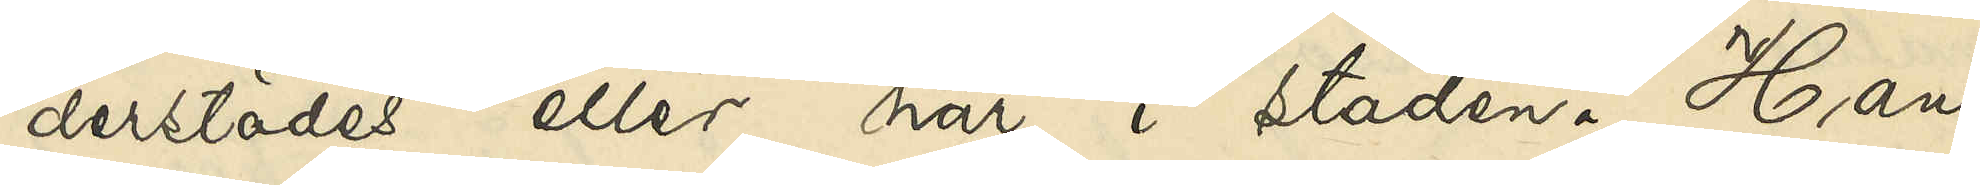derstädes eller här i staden. Hans
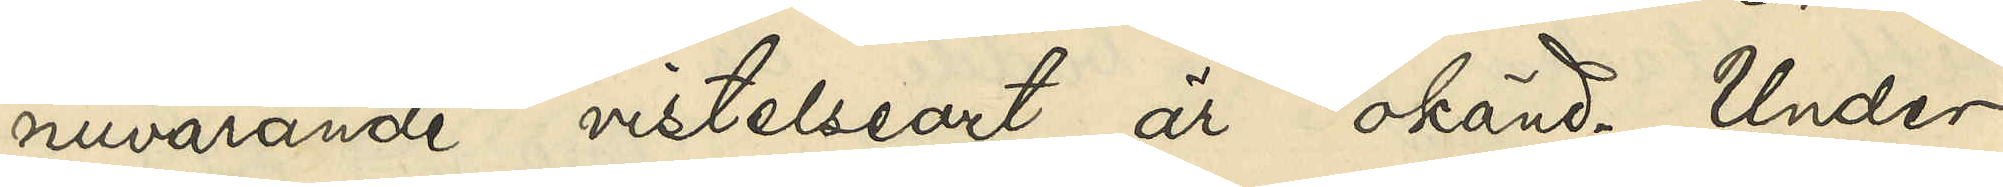nuvarande vistelseort är okänd. Under
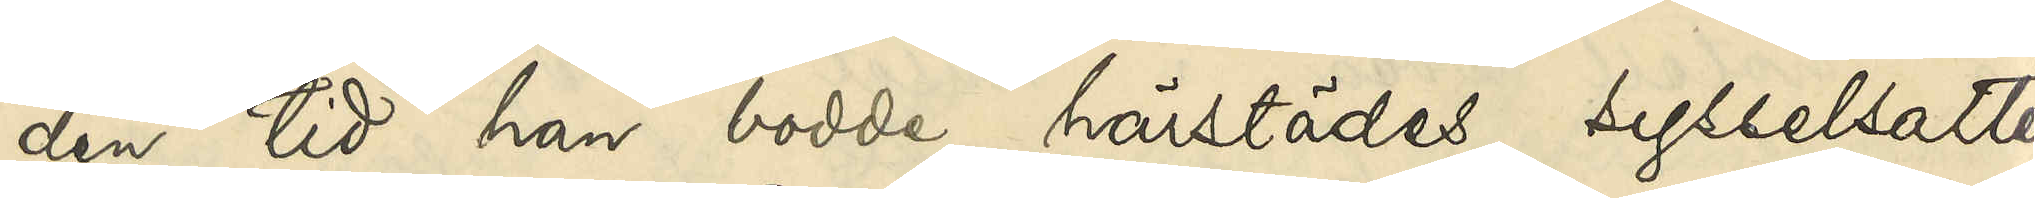den tid han bodde härstädes sysselsatte
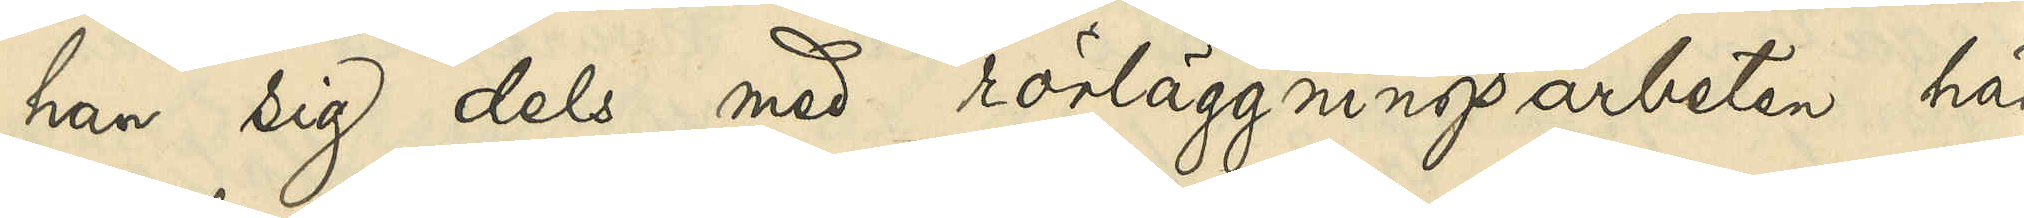han sig dels med rörläggningsarbete här
